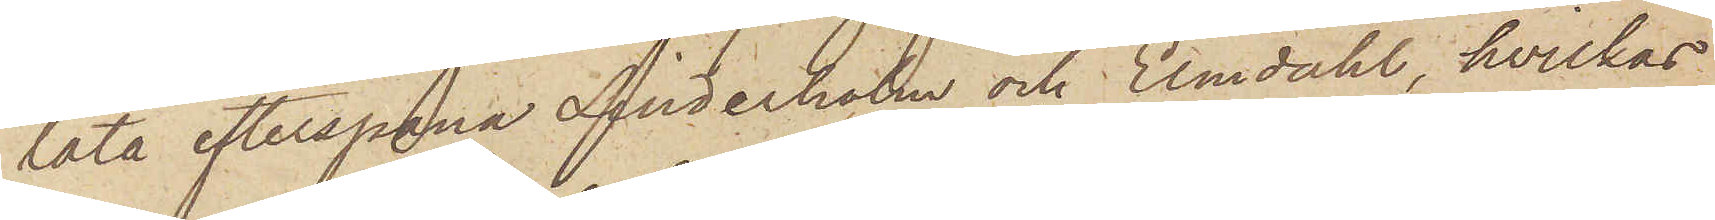låta efterspana Anderholm och Elmdahl, hvilkas
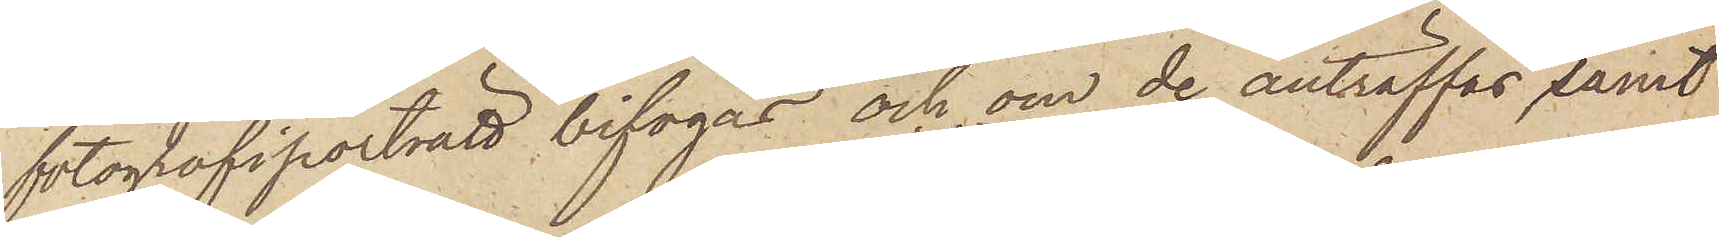fotografiporträtt bifogas och, om de anträffas samt
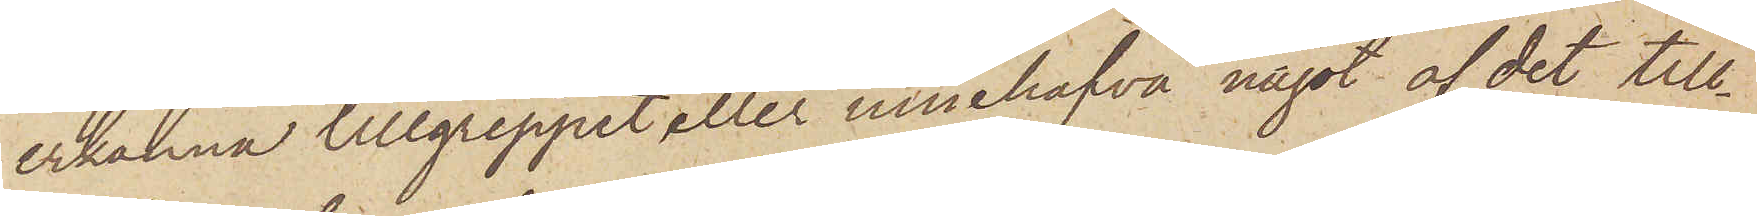erkänna tillgreppet eller innehafva något af det till¬
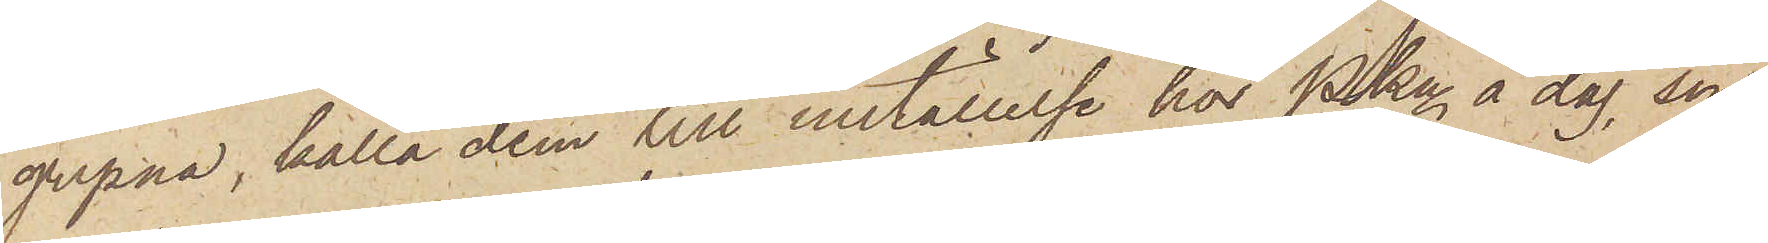gripna, kalla dem till inställelse hos Pkn å dag, som
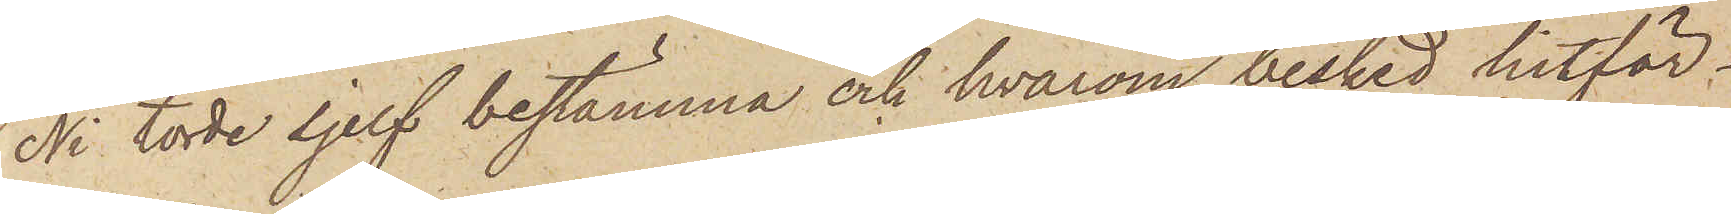Ni torde sjelf bestämma och hvarom besked hitför¬
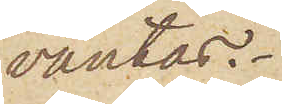väntas.
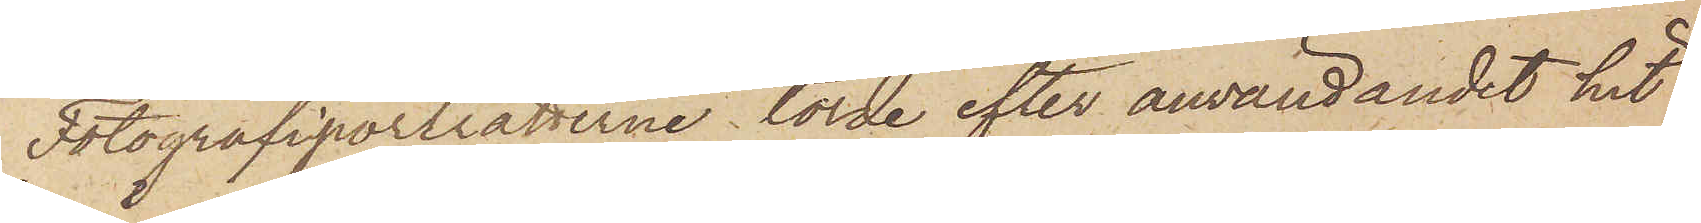Fotografiporträtterne torde efter användandet hit
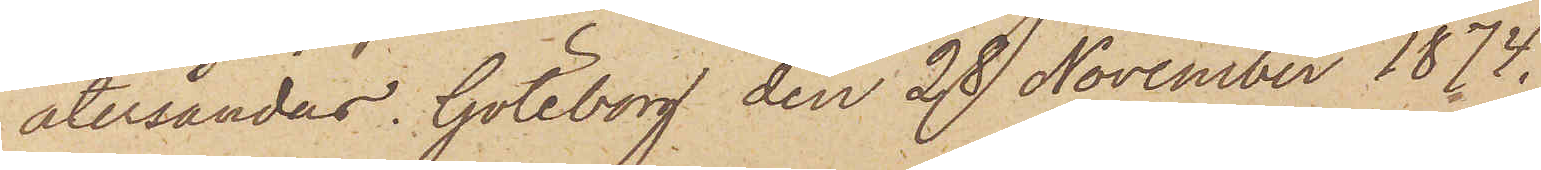återsändas. Göteborg den 28 November 1874.
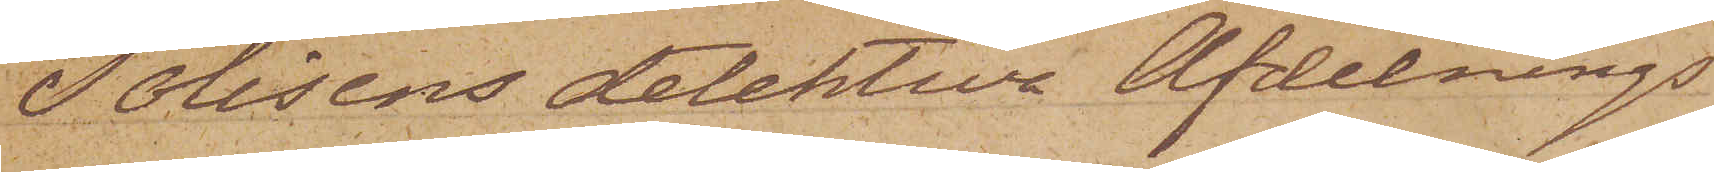Polisens detektiva Afdelnings
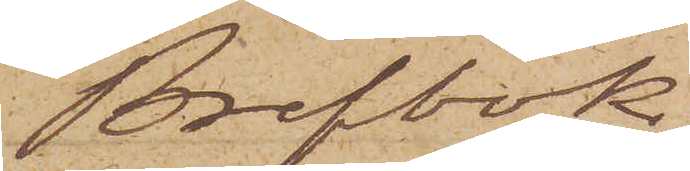Brefbok
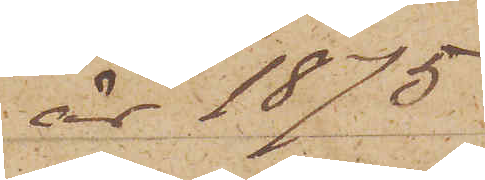år 1875.
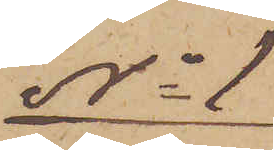No 1
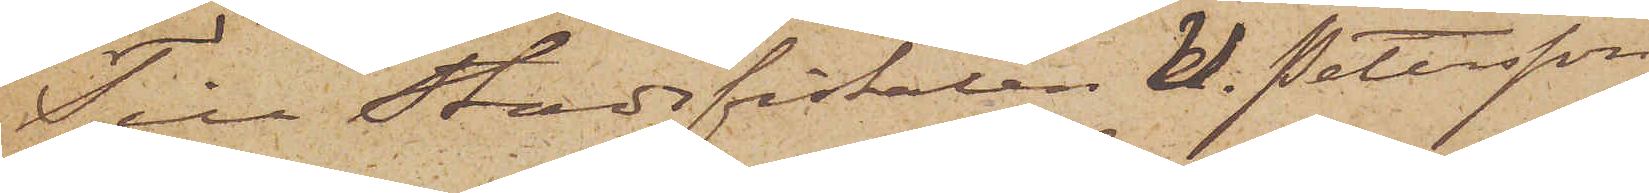Till Stadsfiskalen U. Petersson
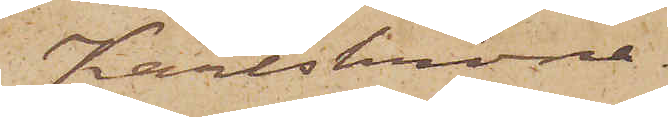Karlskrona.
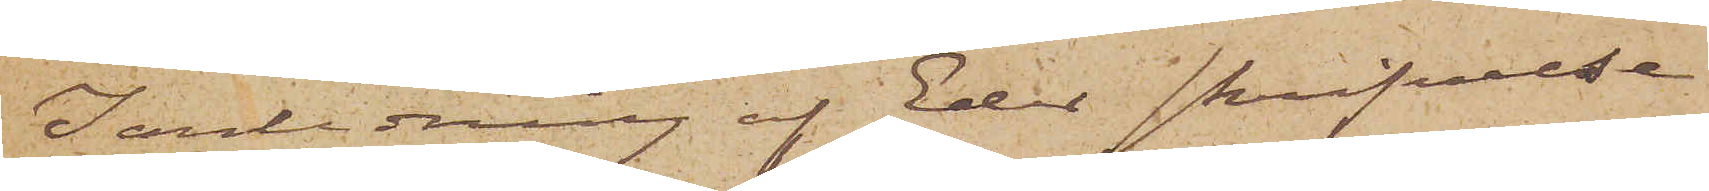I anledning af Eder skrifvelse
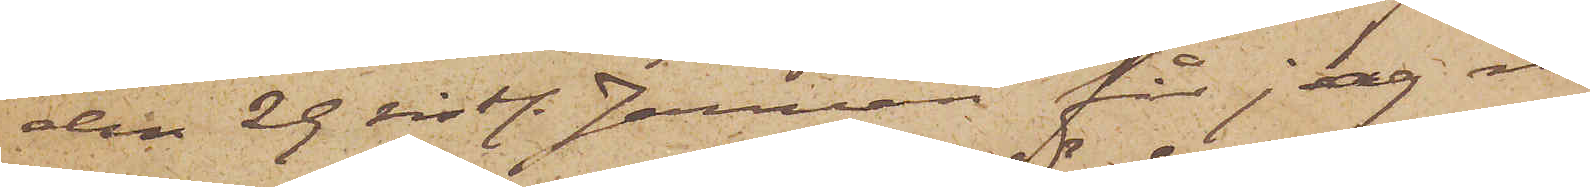den 29 sistl. Januari får jag med¬
